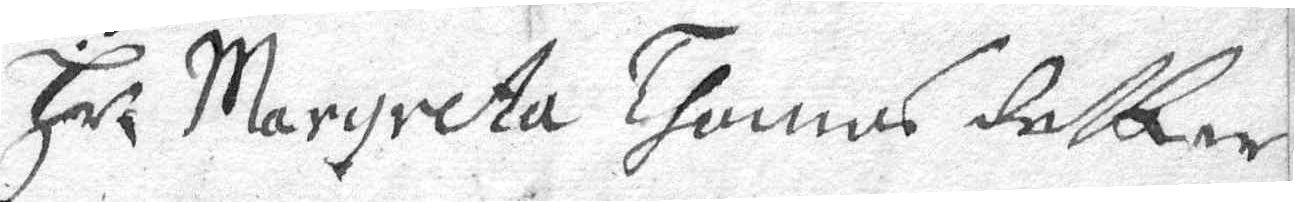Hr Margreta Thomas dotter
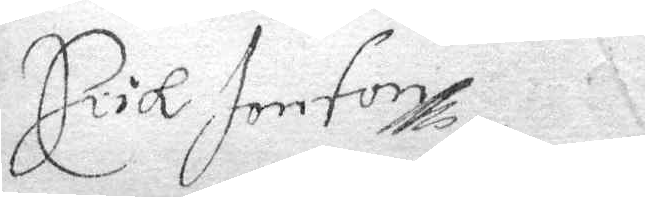Erik Jonson
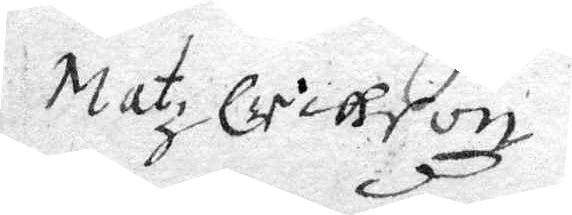Matz Erickson
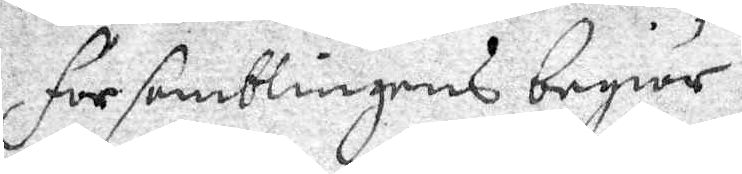församblingens begiär
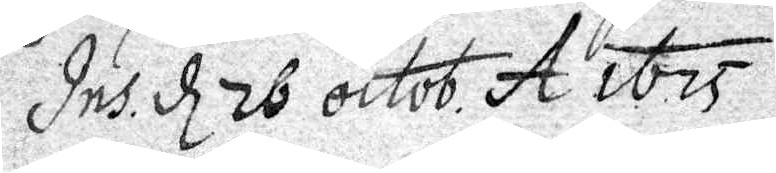det d 26 octob. A.o 1675.
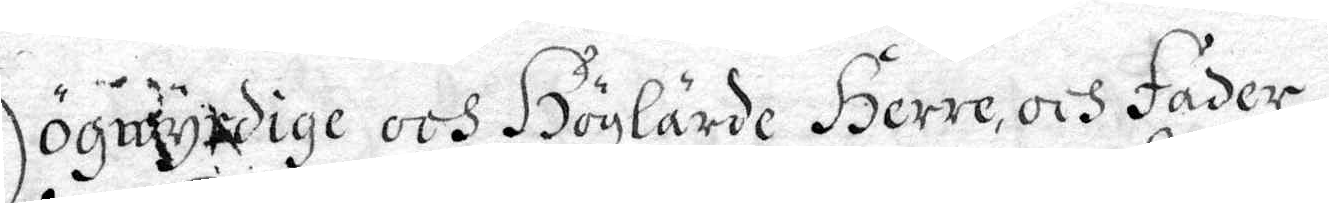Högwyrdige och Höglärde Herre, och fader
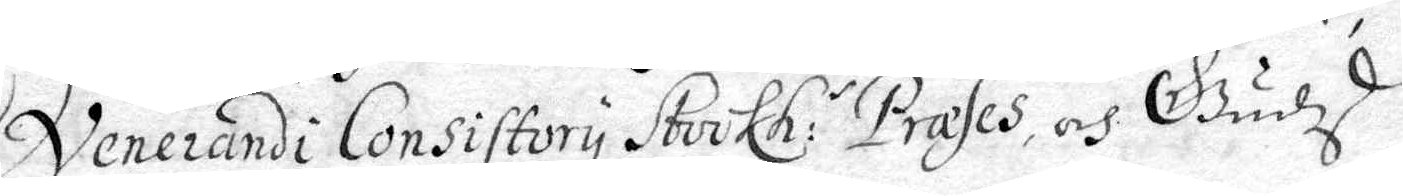venerandi Consistory Sterkh: Prases och Gudzd
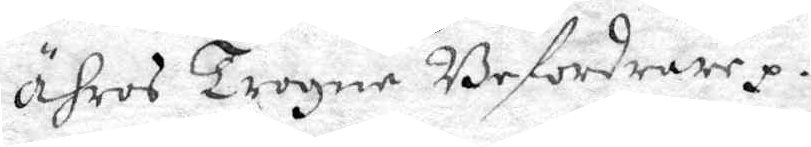ähros Trogne Befordrare. 
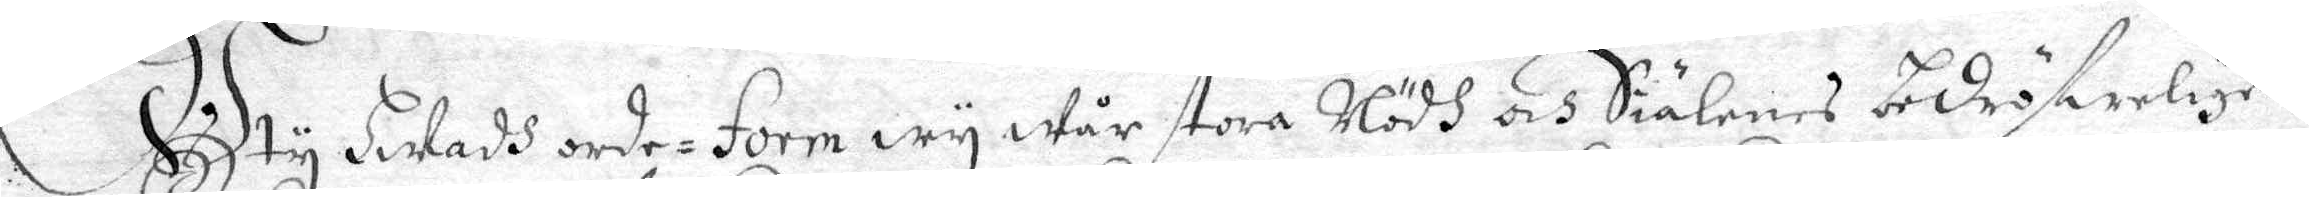Ity hwadh orde. Form Wy Wår stora Nödh och Siälarnas bedröfwelige
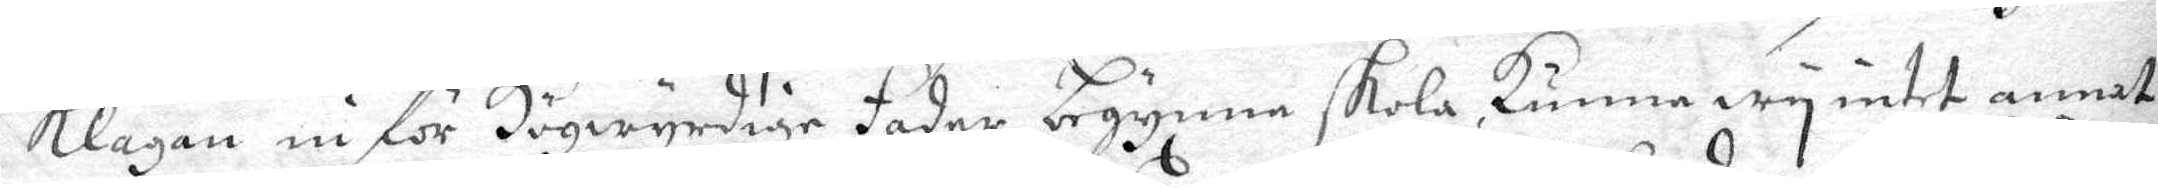Klagan in för Högwyrdige Fader begynna skola, kunna wy intet annat
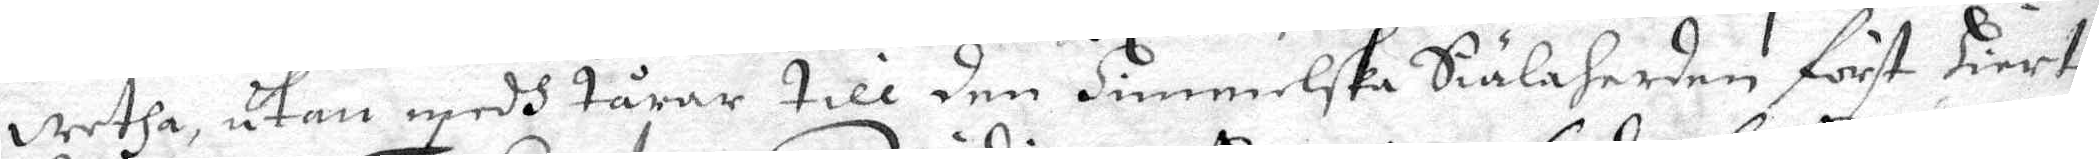wetha, utan medh tårar till den himmelska Siälaherden först Hiert¬
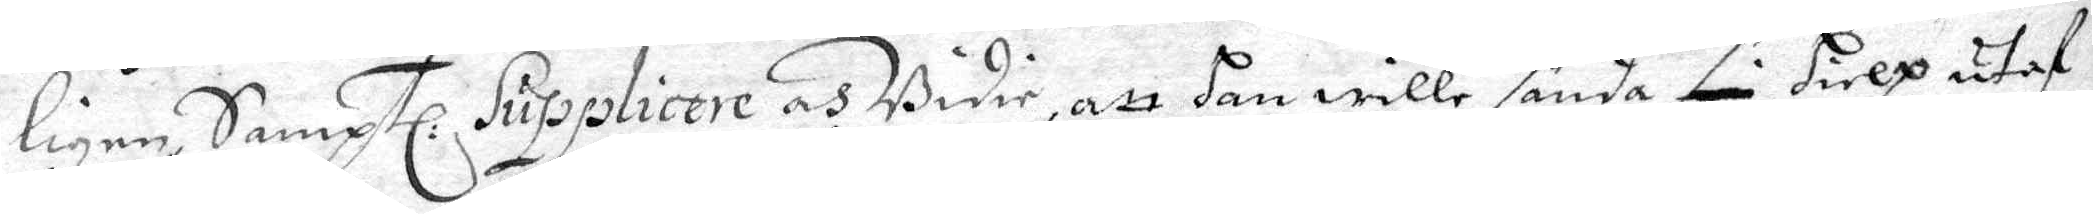ligen Samptl. Supplicere och Bidie, att han wille sända sin hielp utaf
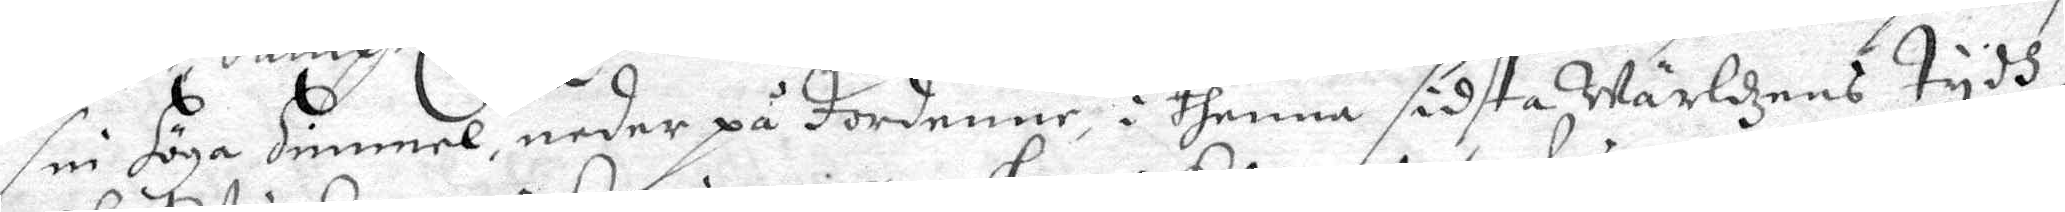sin höga himmel, neder på Jordenne, i thenna sidsta Wärldzens tydh,
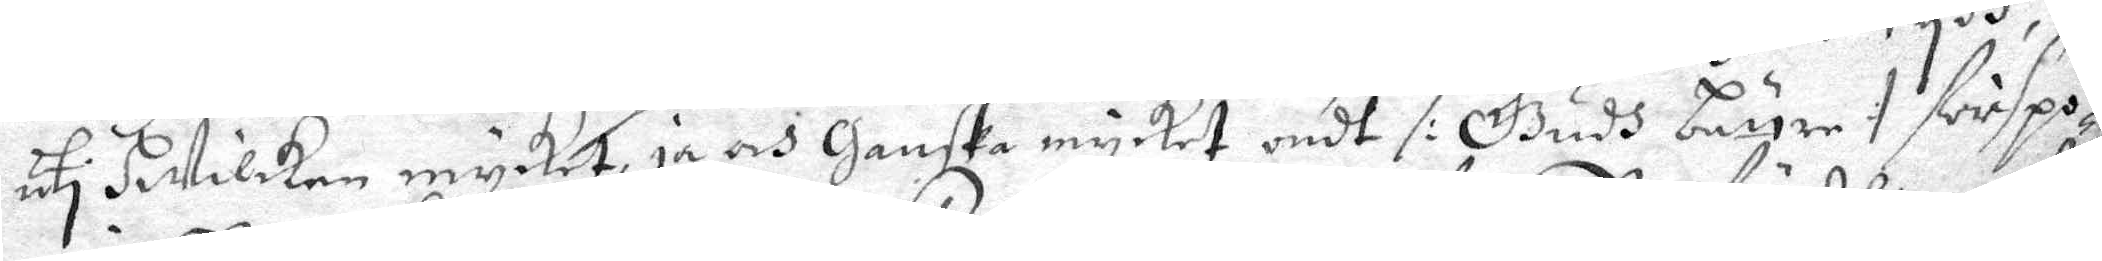uti Hwilcken mycket, ja och Ganska mycket ondt /: Gudh beröre :/ förspö¬
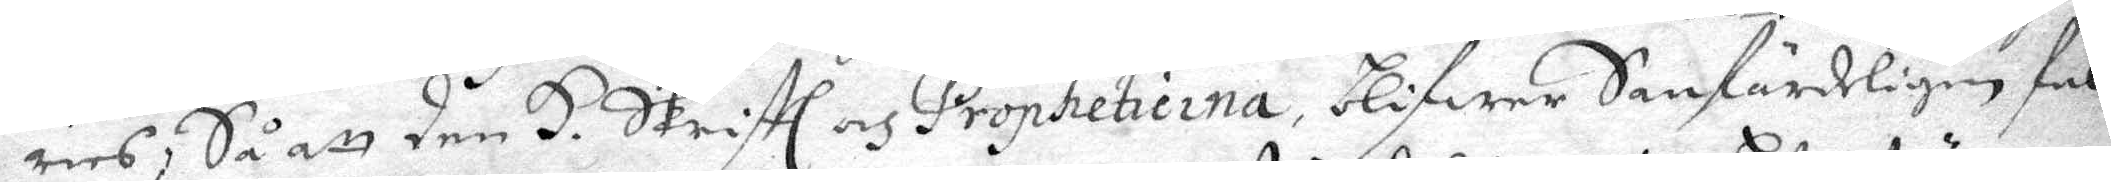ries; Så att den H. Skrifth och Prophetierna, blifwer Sanfärdeligen ful¬
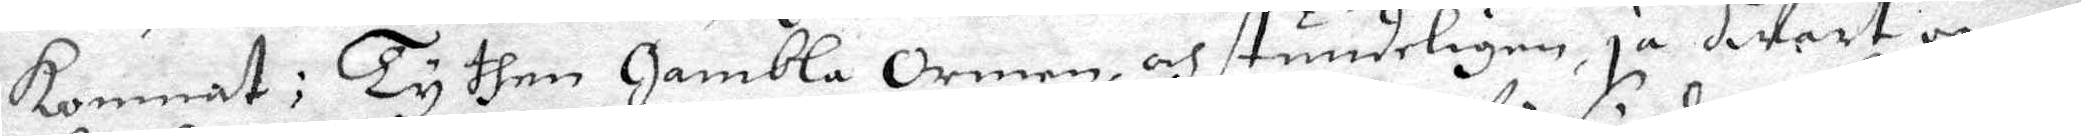kommnat: Ty then Gambla Ormen, och stundeligen ja hwart ögna¬
